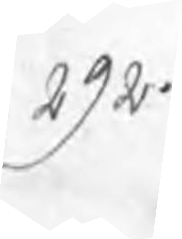292.
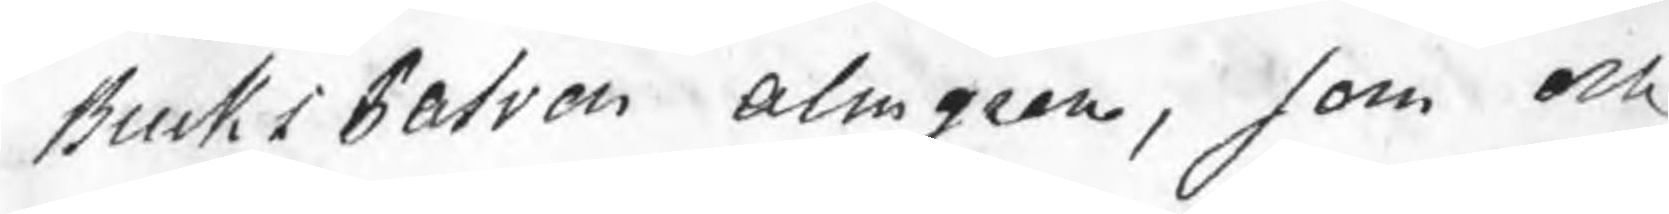BruksPatron Almgren, som och
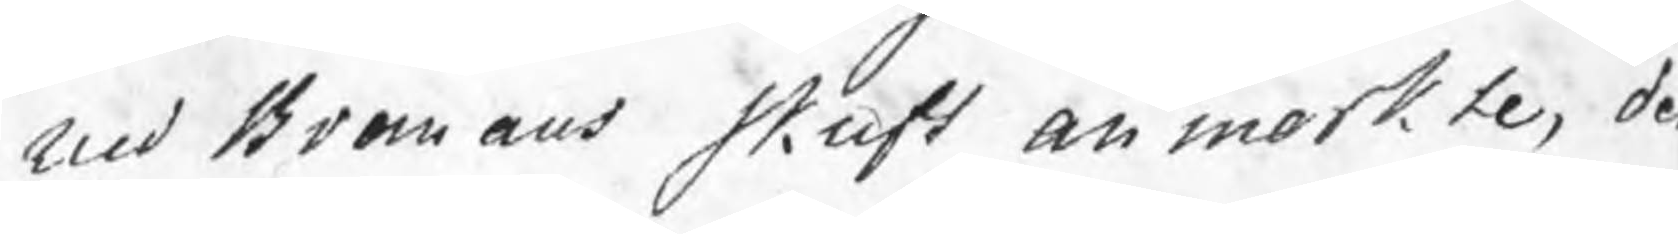med Bromans skrift anmerkte, de
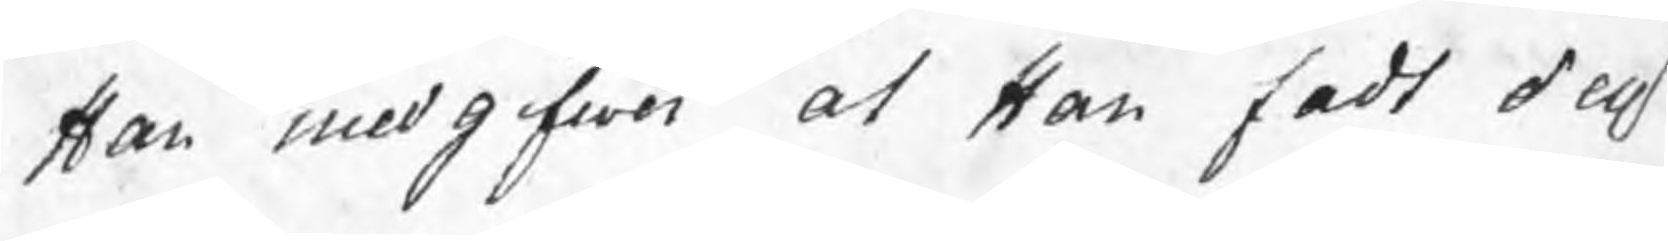Han medgifwer at Han fadt dess
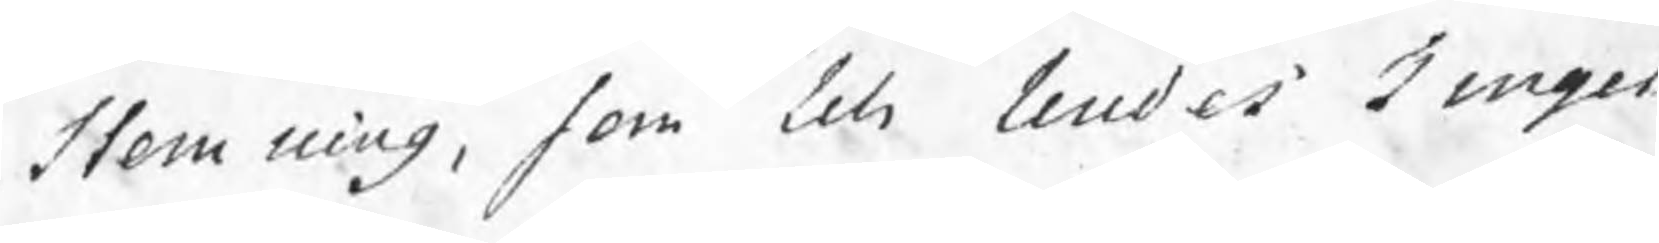Stemning, som till Lindes Tinget
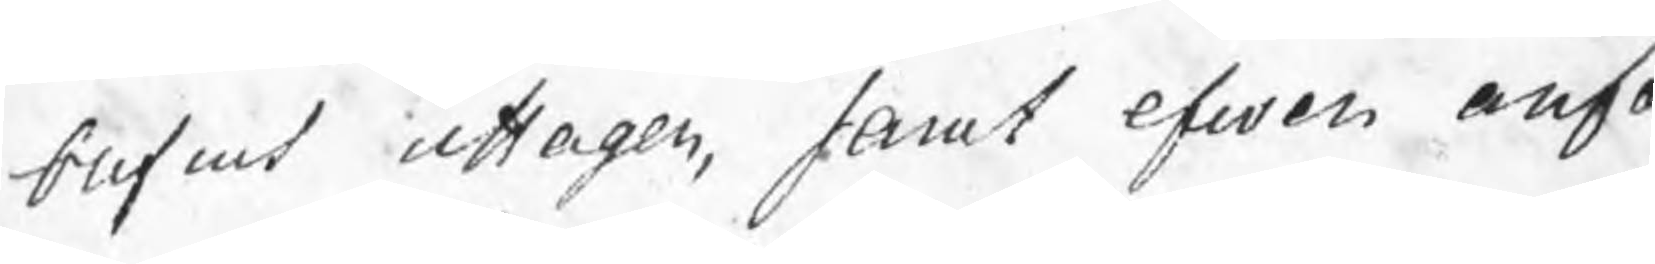blifwit uttagen, samt efwen anfo
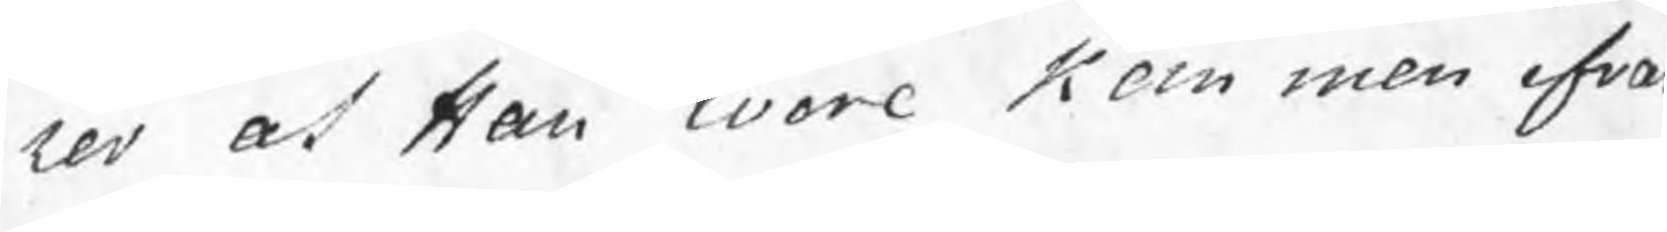rer at Han wore kommen ofva
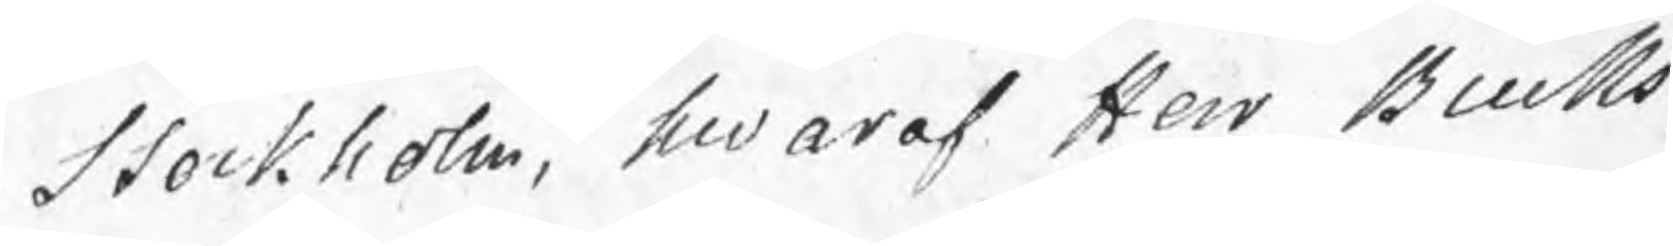Stockholm, hwaraf Herr Bruks¬
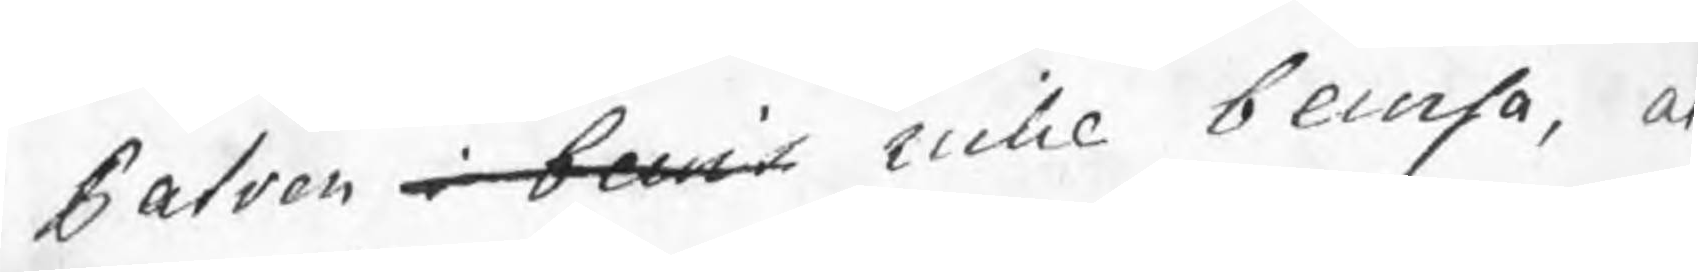Patron i bewis icke bewisa, a
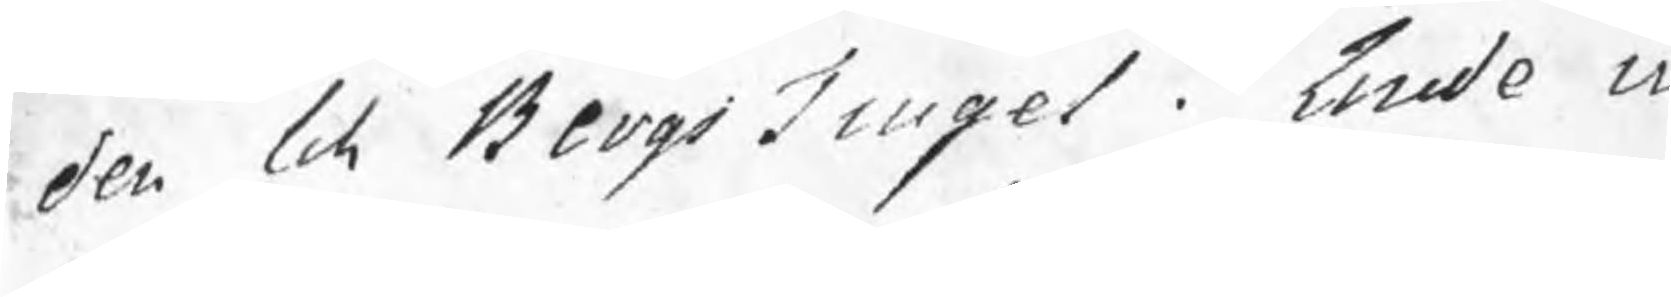den till BergsTinget i Linde in
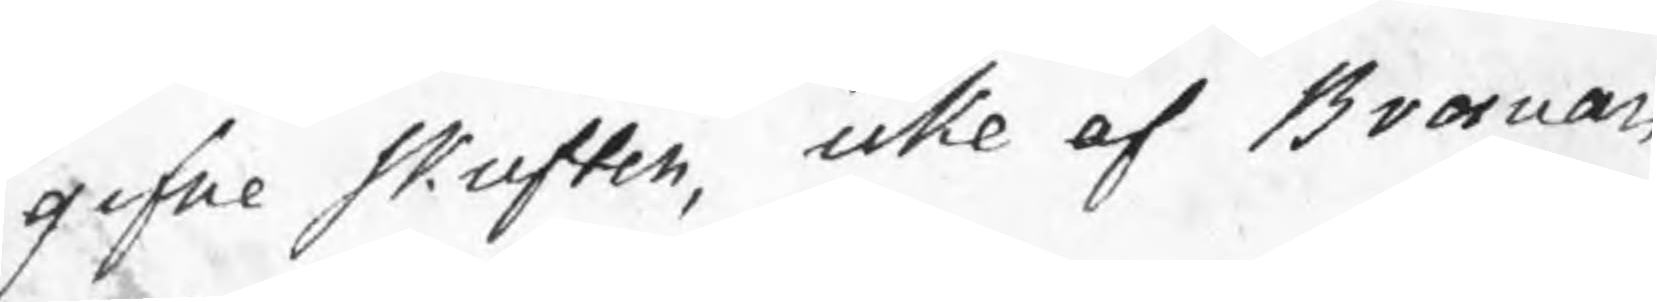gifne skriften, icke af Borman
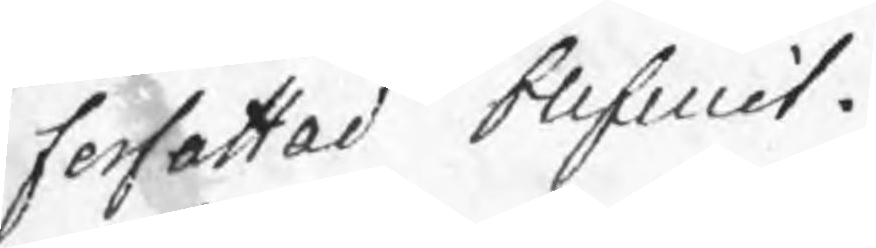forfattad blifwit.
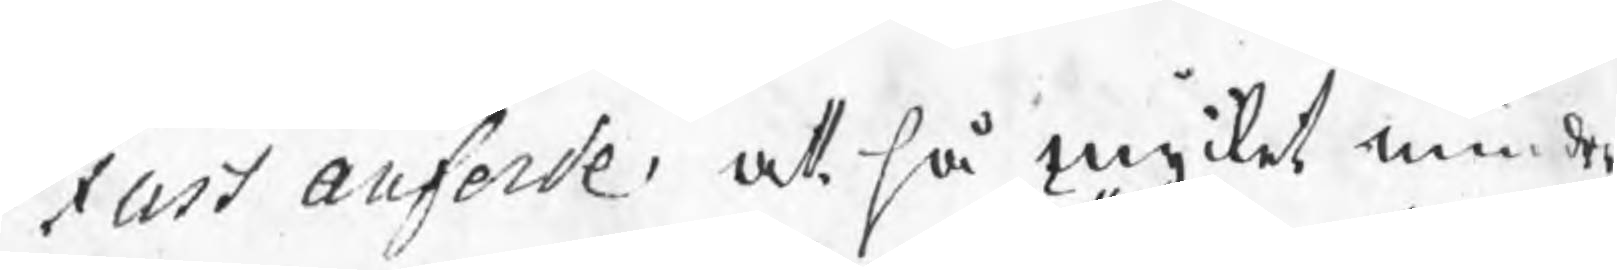Fast anforde, att så mycket mindre
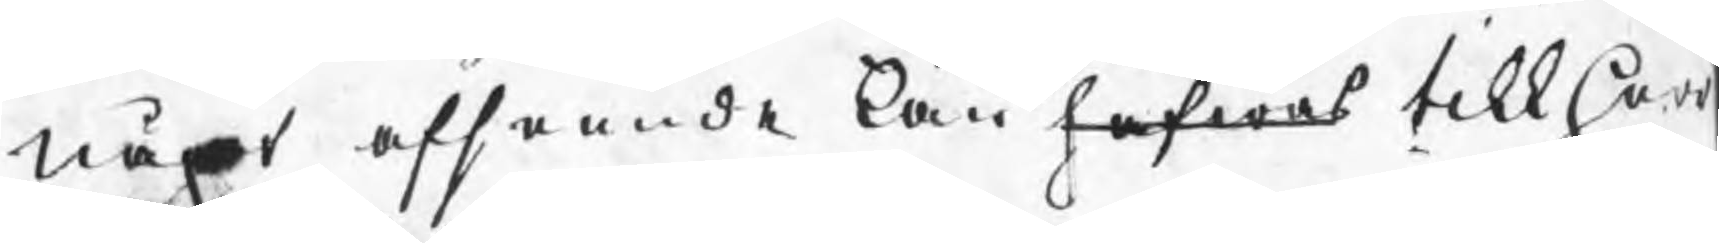något afseende kan hafwas till Herr
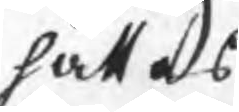sättas
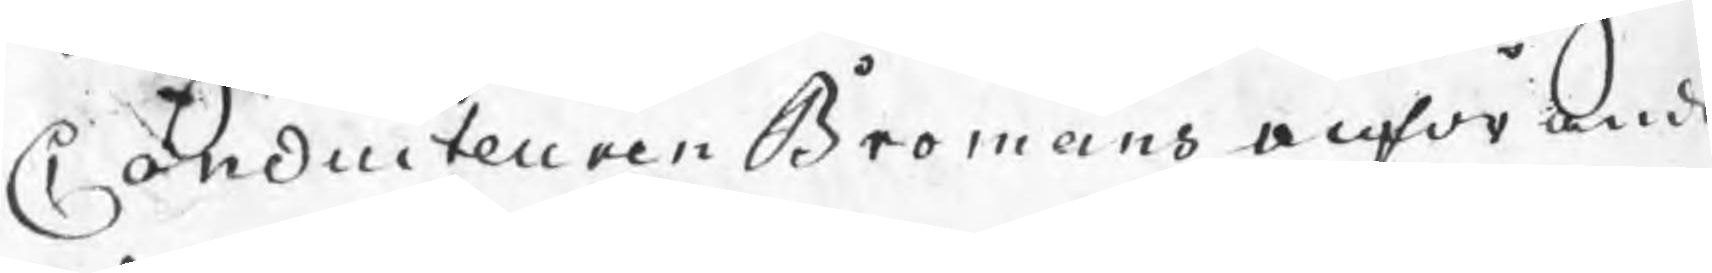Conduiteuren Bromans anförande
